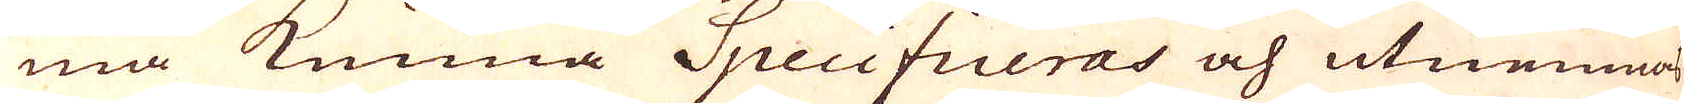må kunna Specificeras och utnemnas.
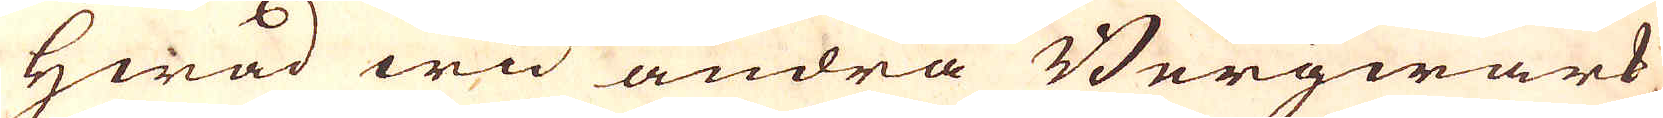Hwad wid andra Bergwärk
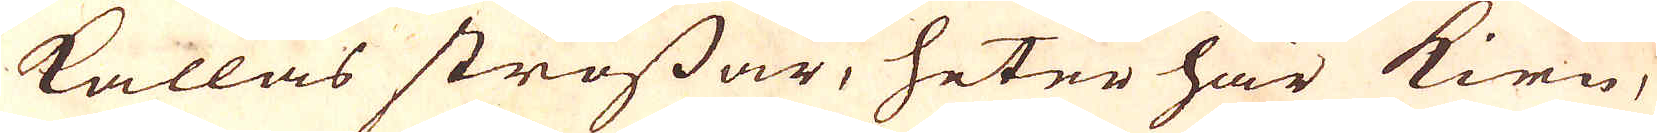kallas strossar, heter här kirn,
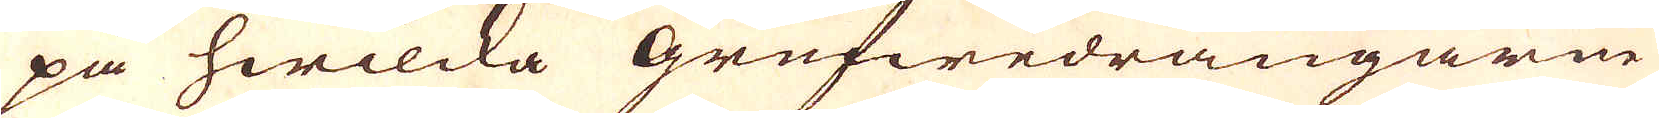på hwilcka Grufwedrängarne
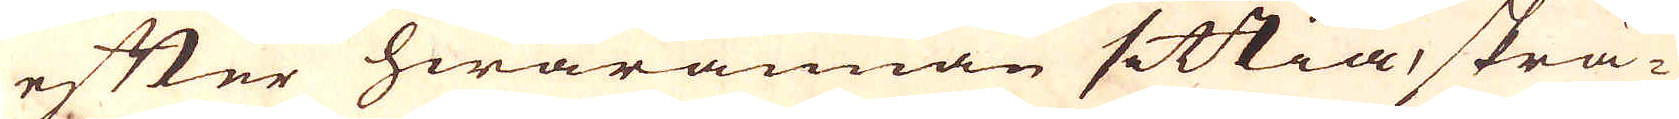efter hwarannan sittia, skrä-
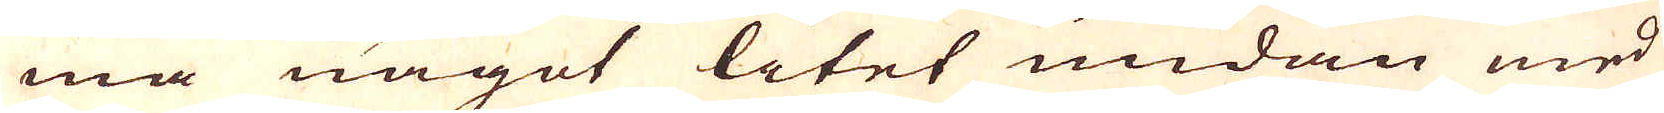ma något litet undan med
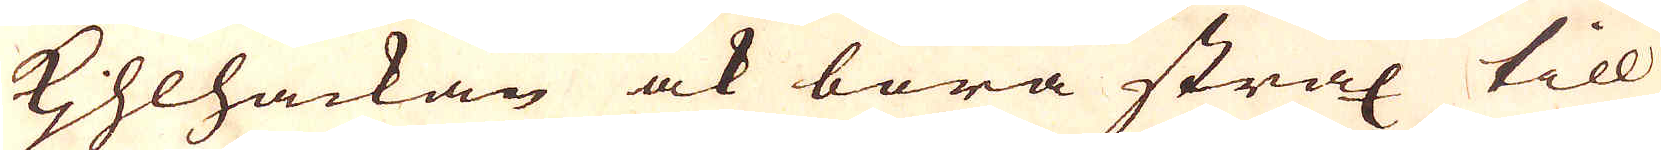Kihlhackan ock bara strax till
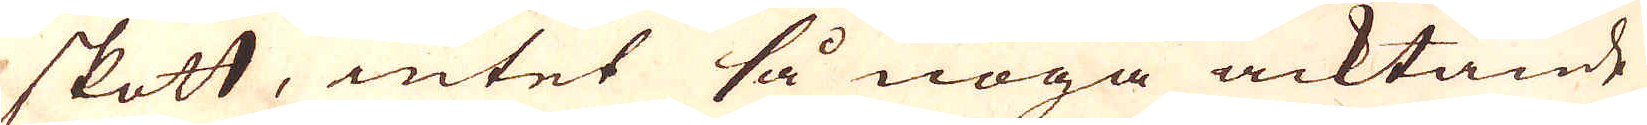skott, intet så noga acktande
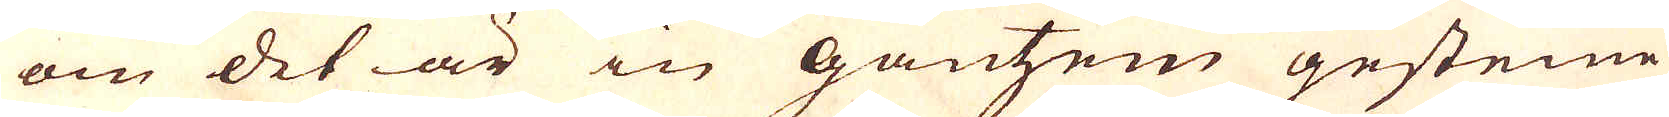om det är in Gantzen gesteine
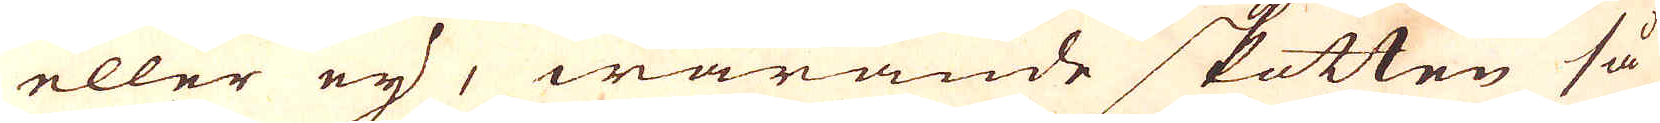eller eij, warande skotten så
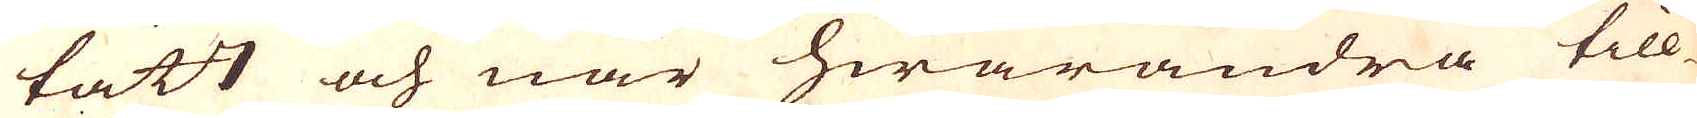tätt och när hwarandra till-
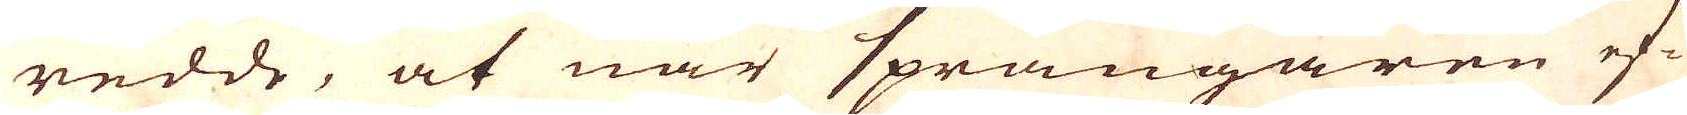redde, at när sprängaren ef-
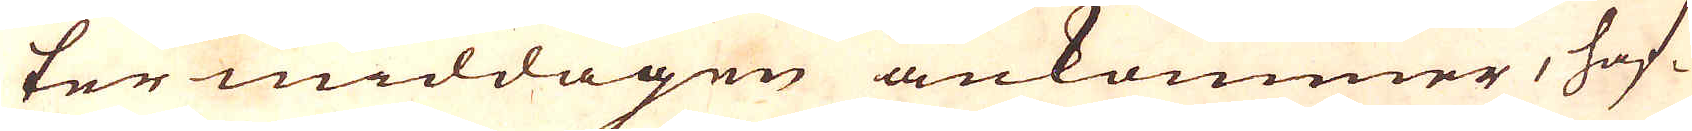ter middagen ankommer, haf-
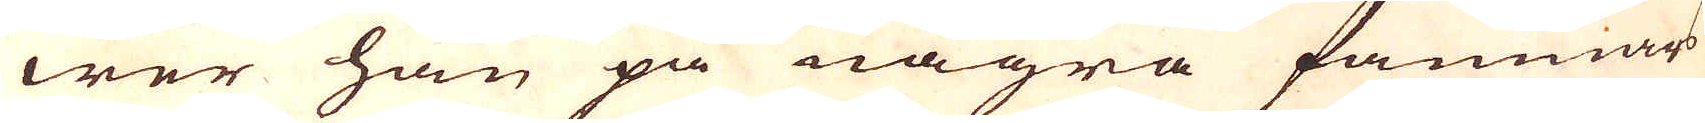wer han på några famnars
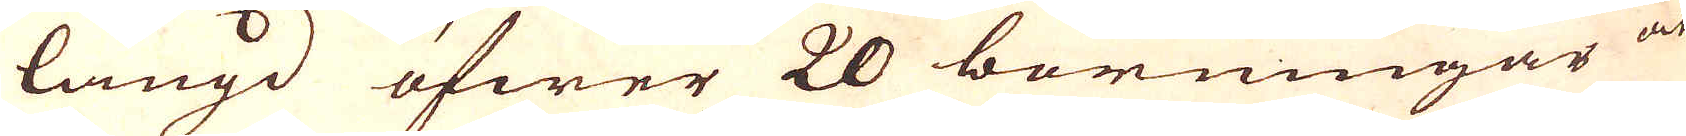längd öfwer 20 borningar at
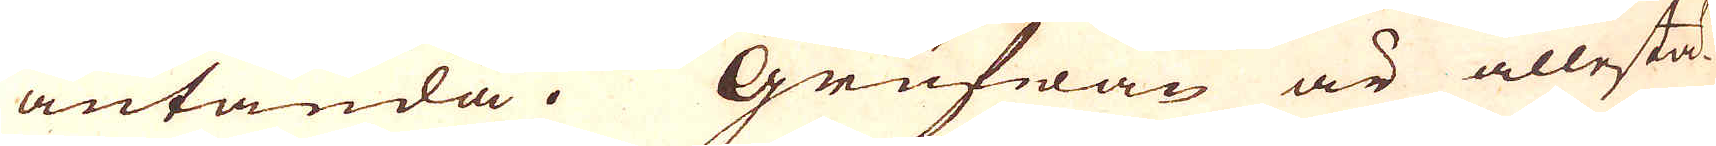antända. Grufwan är allestä-
